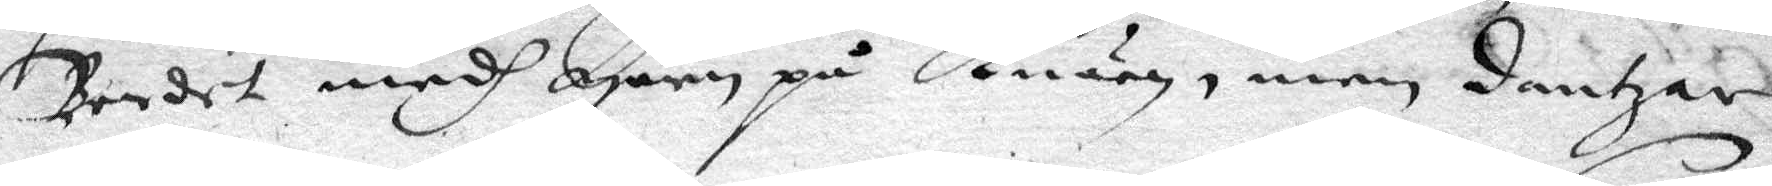Bordet medh Lpen på Knäen, men dantzar
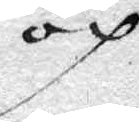och
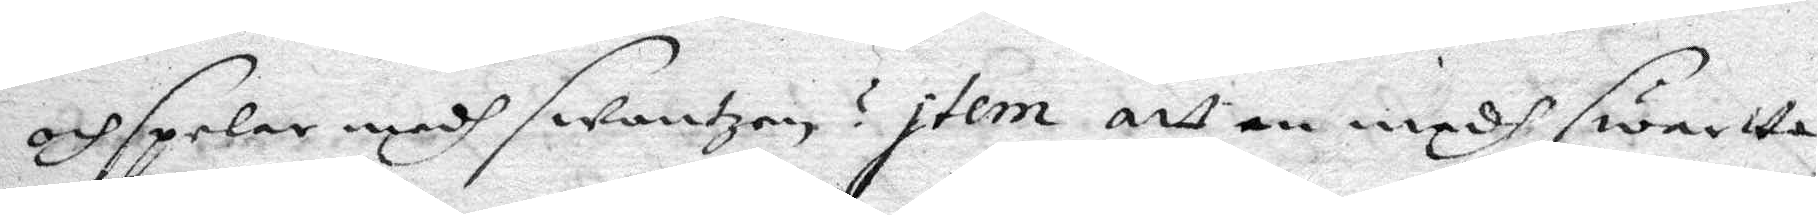och spelar medh swantzen? Item att medh swarta
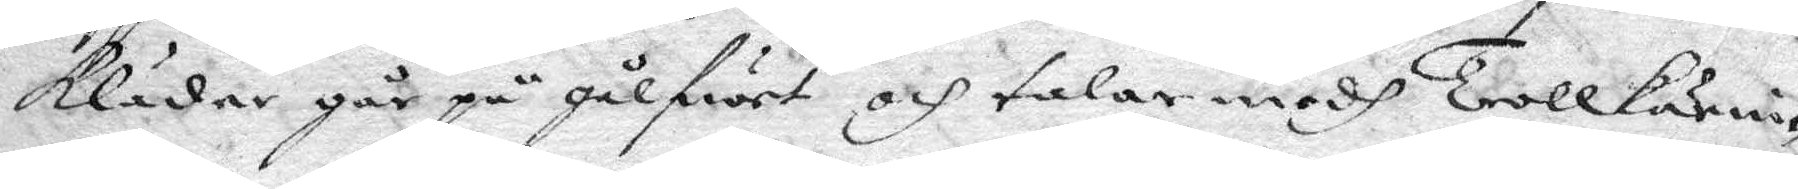Kläder går på gålfwet och talar medh Trollkärrin¬
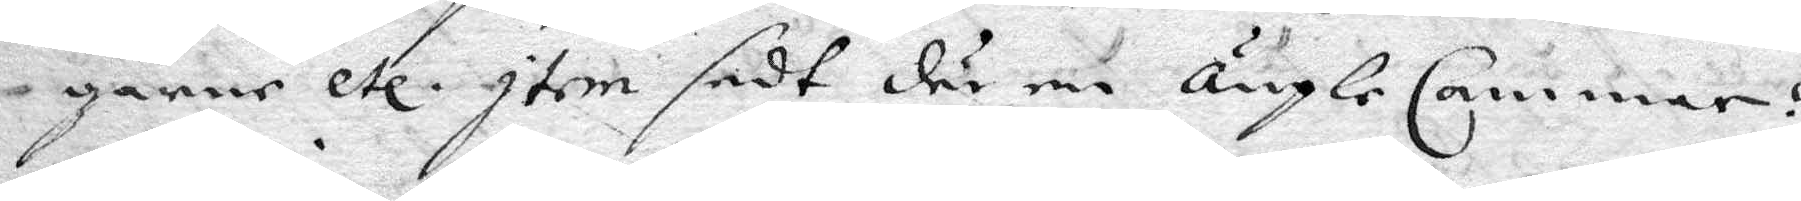garne etc. Item sedt där en ÄngleCammare?
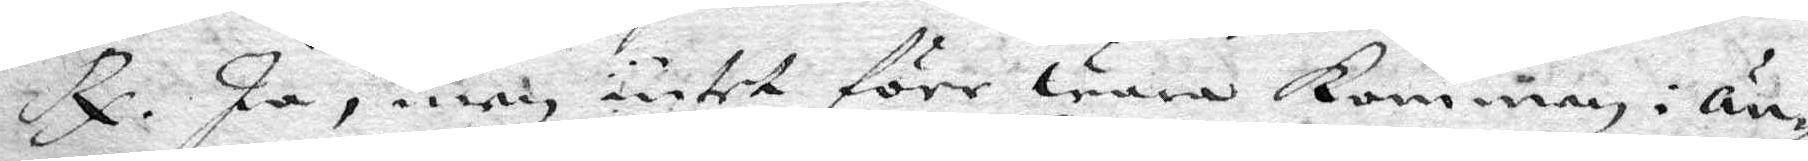Rp. Ja, men intet förr wara Kommen i Än¬
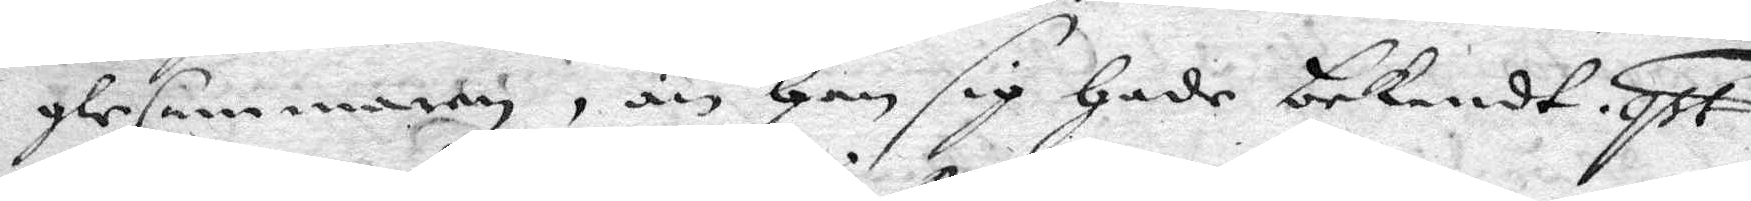gleCammaren, än Han sig Hade bekendt. qst.
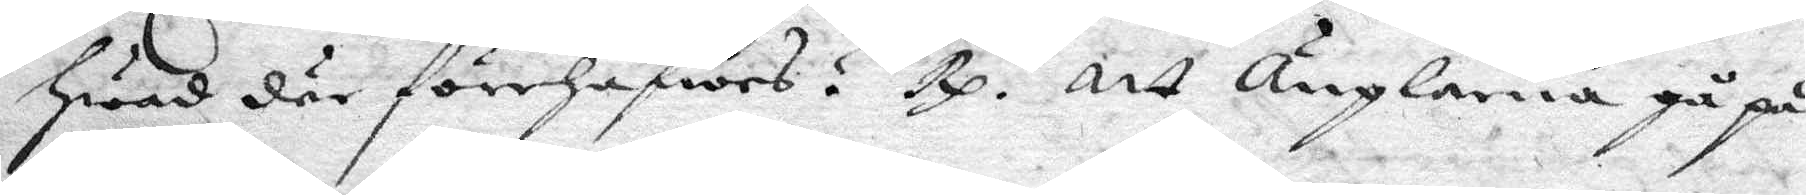Hwad där förehafwes? Rp. Att Änglarna gå på
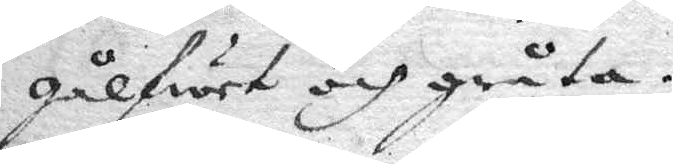gålfwet och gråta.
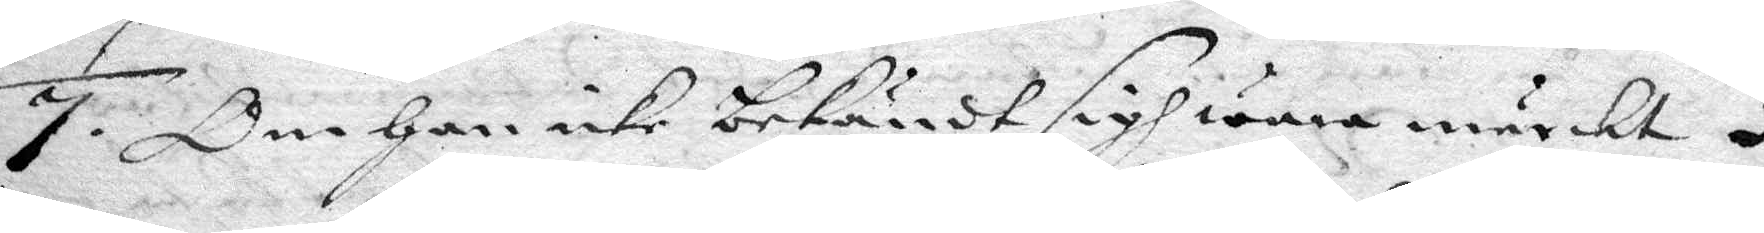7. Om Han icke bekändt sig wara märckt i
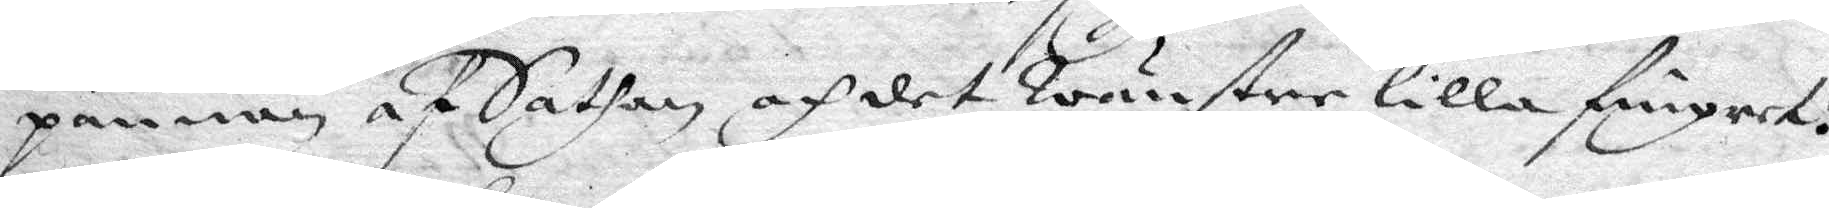pannan af Sathan och det Wänstre lilla fingret!
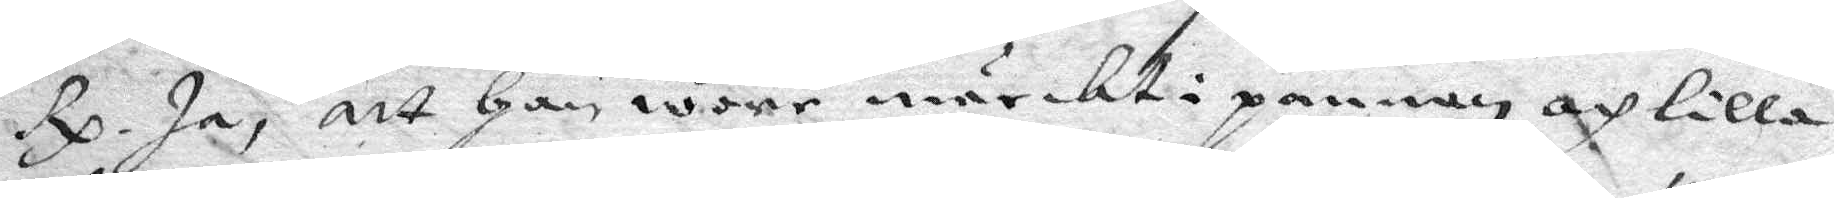Rp. Ja, att Han ware märckt i pannan och lilla
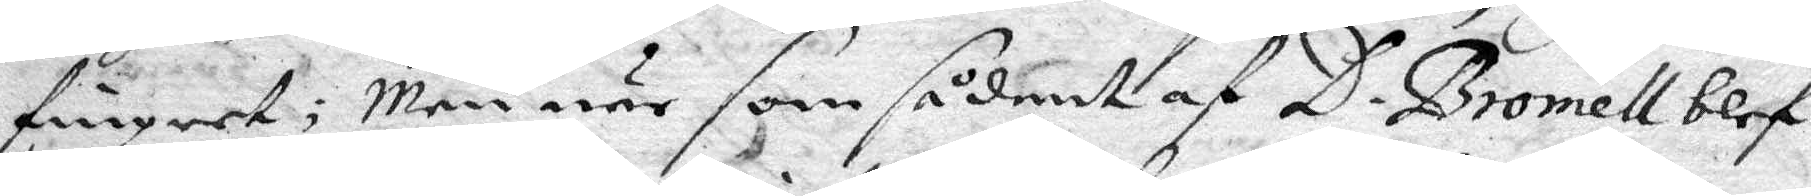fingret; Men när som sådant af D. Bromell blef
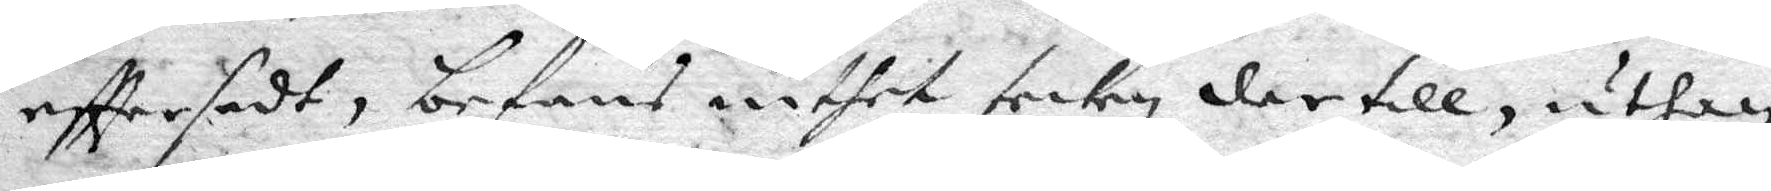efttersedt, befans inthet teckn dertill, uthan
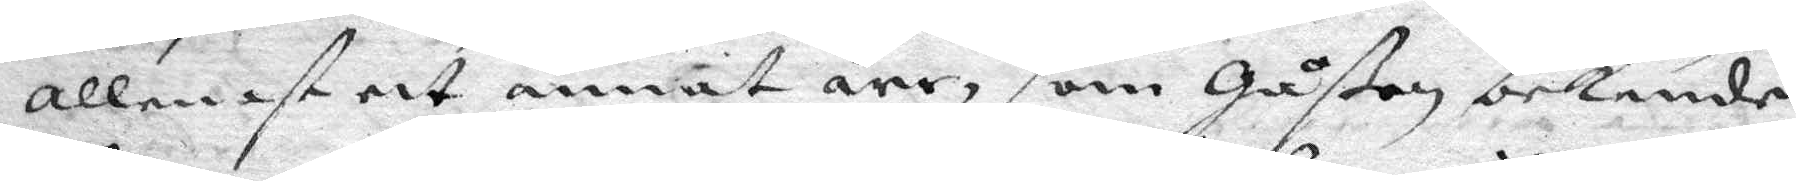allenast ett annat ärr, som gåßen bekende
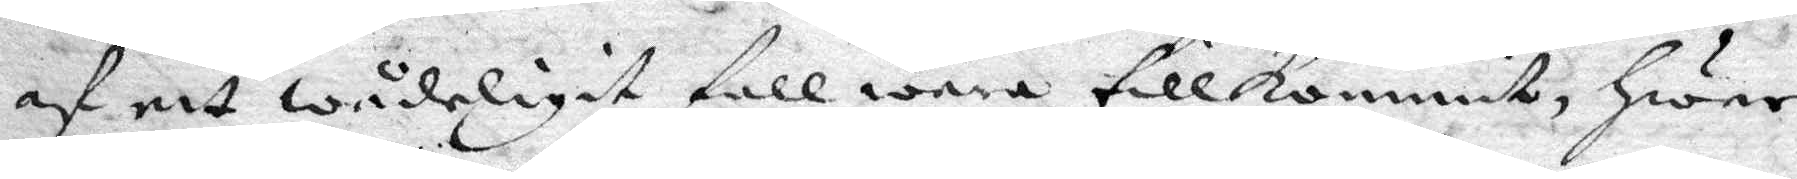af ett wådeligit fall wara tillkommit, Hwar
